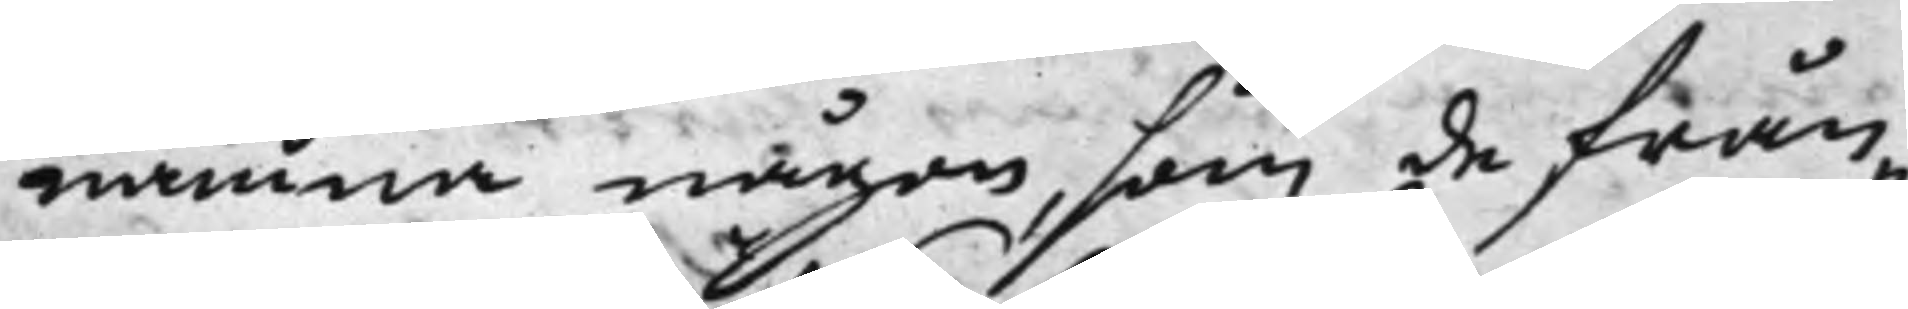nämna någon, som de från¬
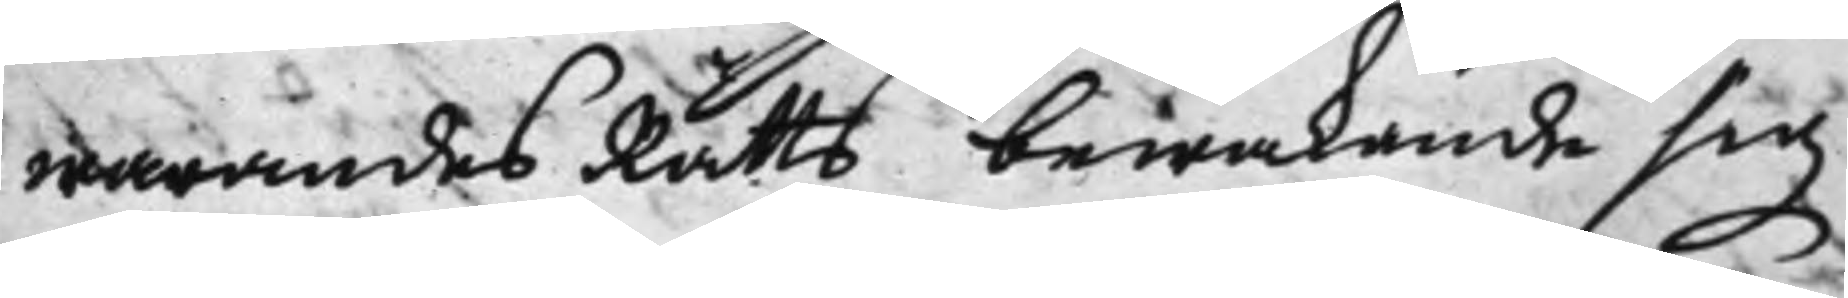warandes Rätts bewakande sig
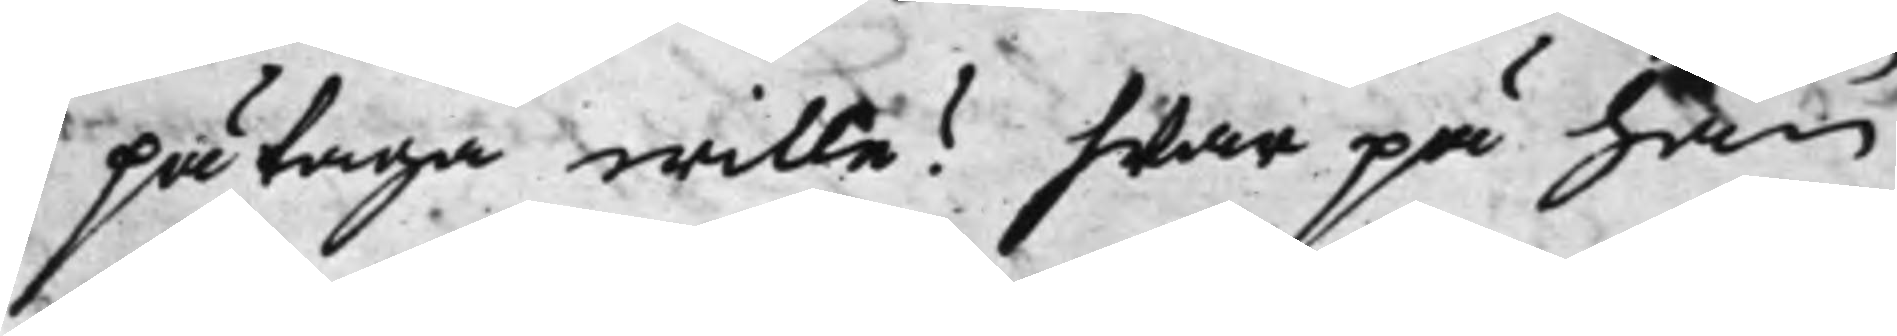p,åtaga wille? hwar på han
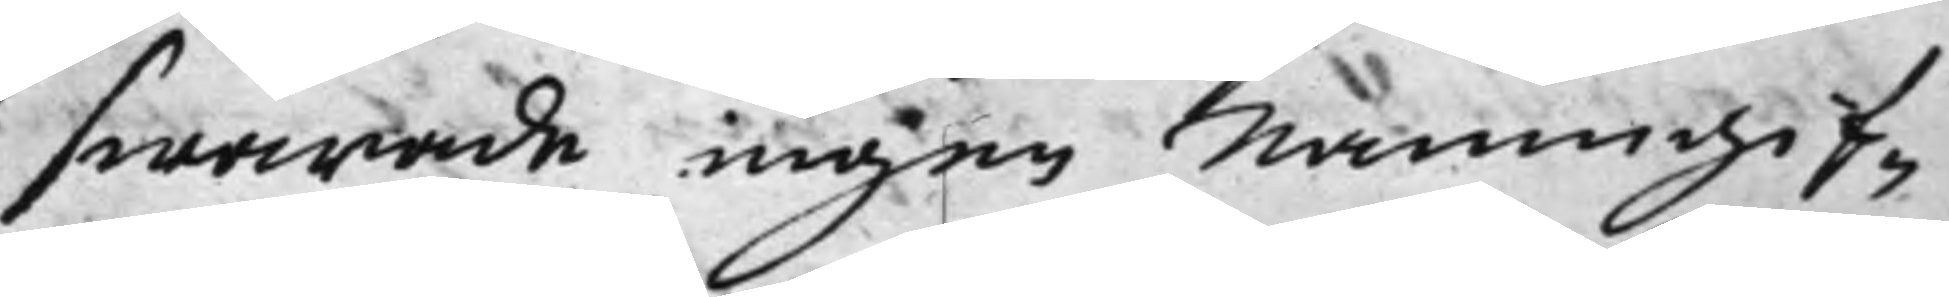swarade ingen namngif¬
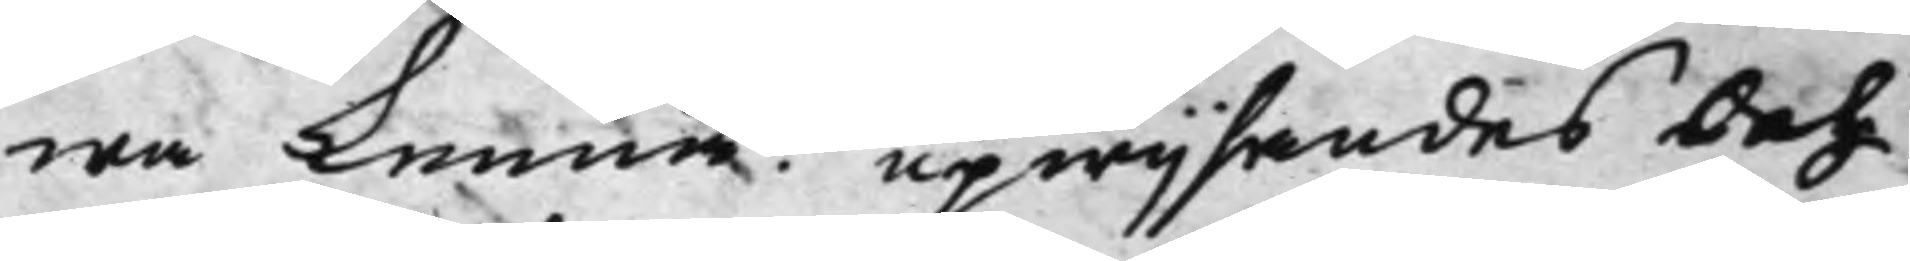wa kunna. upwisandes Och
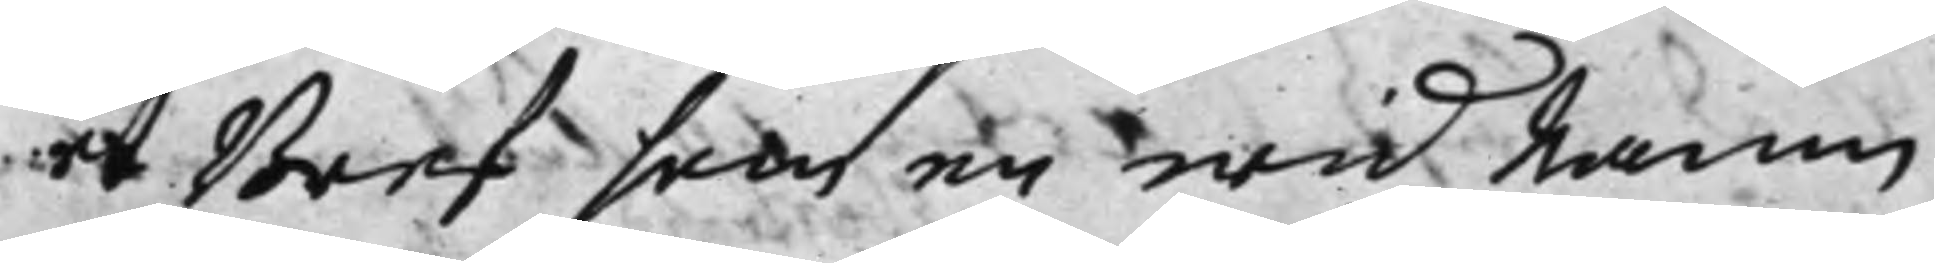et Bref som en wid Namn
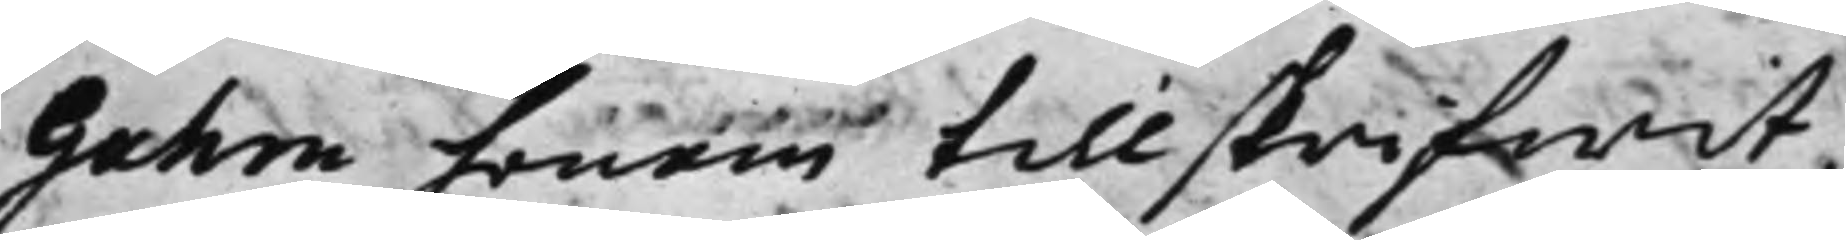Gahm honom tillskrifwit,
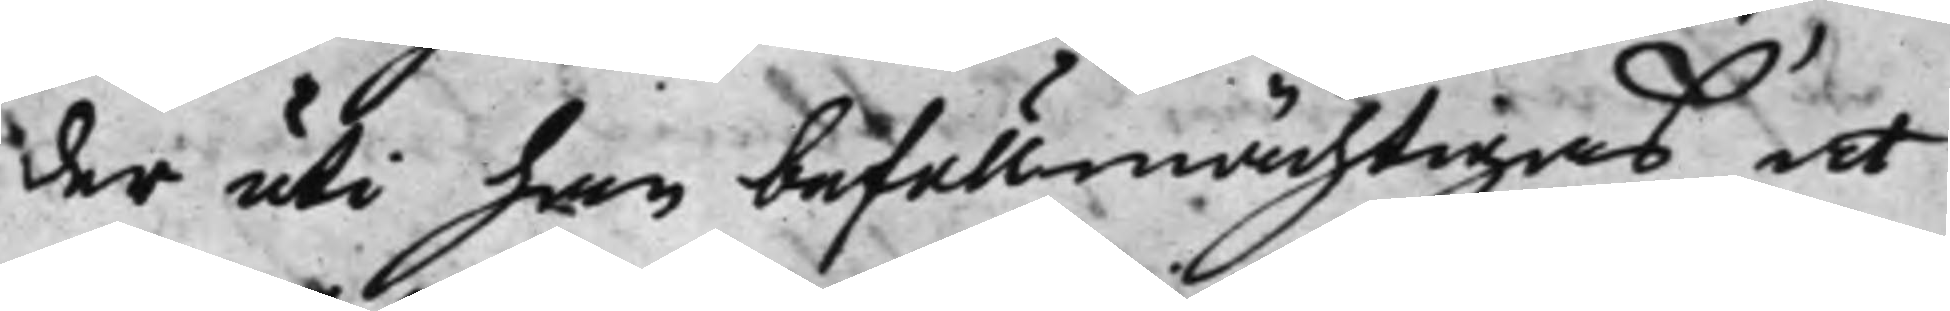der uti han befullmächtigas at
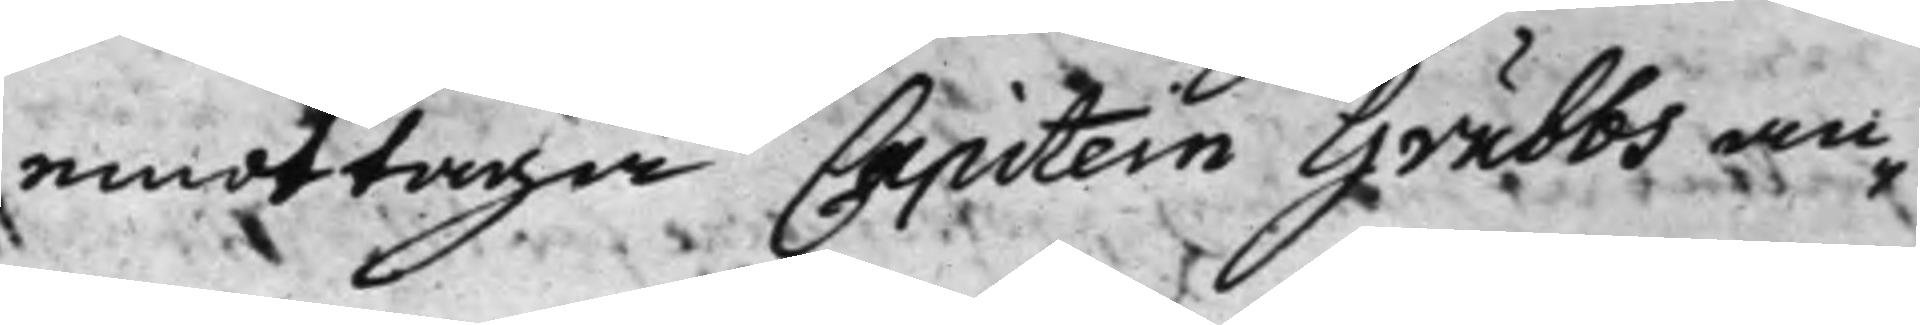emottaga Capitein Grubbs an¬
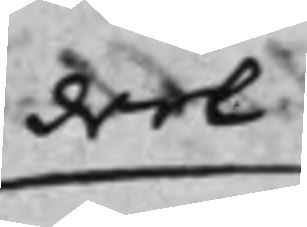deel
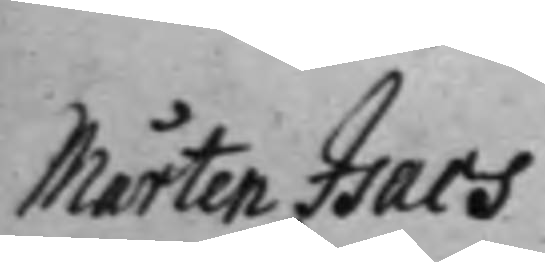Mårten Isacs
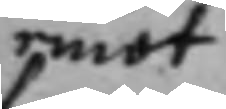emot
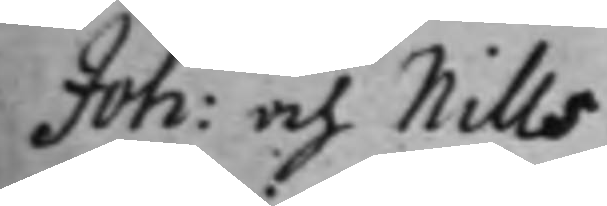Joh: och Nills
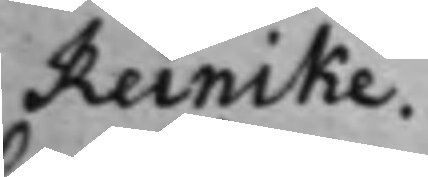Reinike.
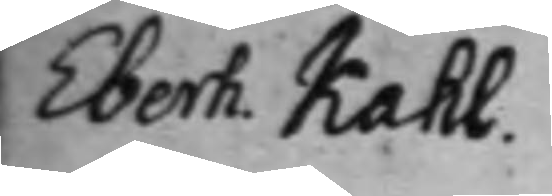Eberh. Kahl.
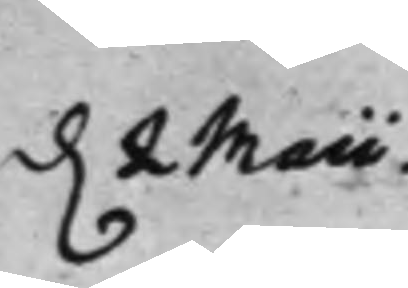d. 2 Maii.
